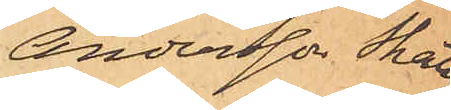Andersson Skatt¬
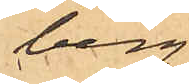berg.
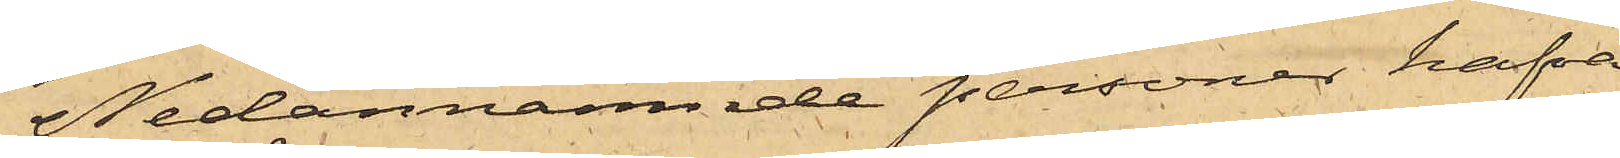Nedannämnde personer hafva
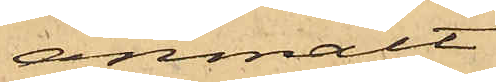anmält:
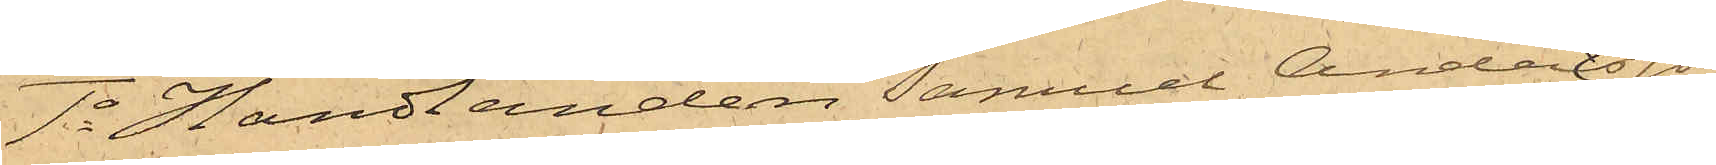1o Handlanden Samuel Andersson
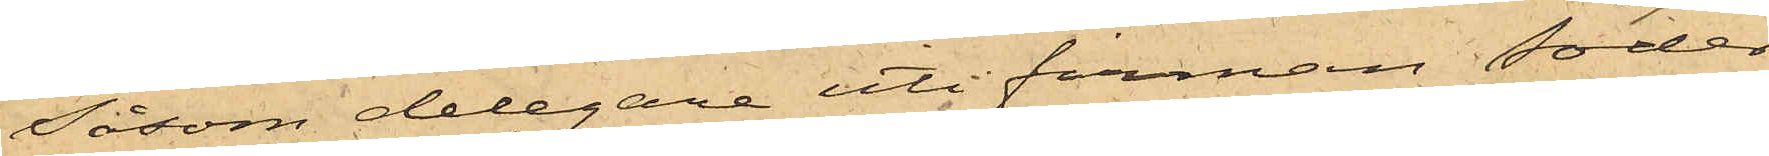Såsom delegare uti firman Söder¬
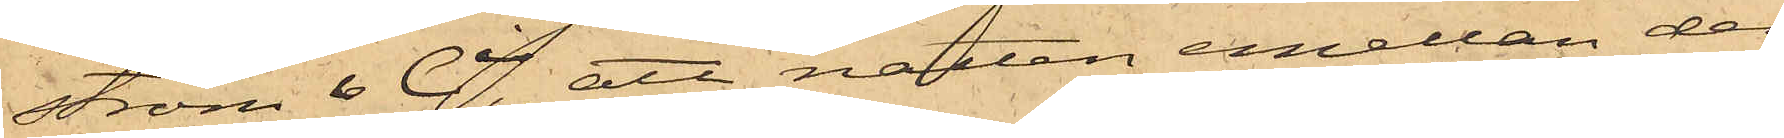ström & Ci, att natten emellan den
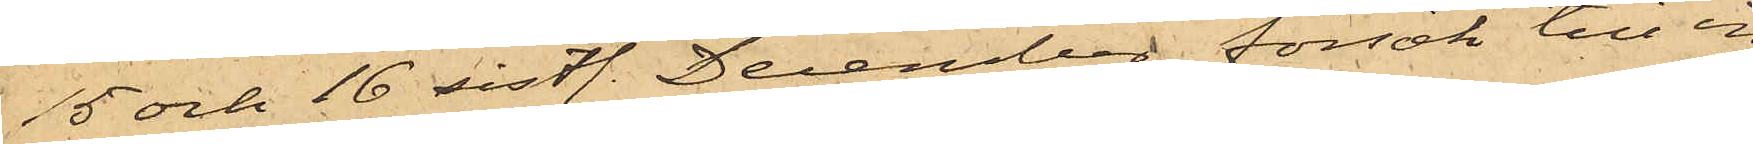15 och 16 sistl. December försök till in¬
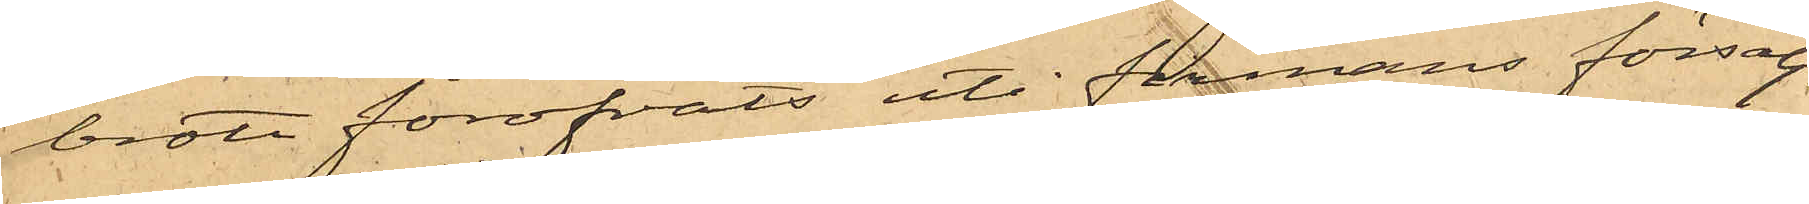brott föröfvats uti firmans försälj¬
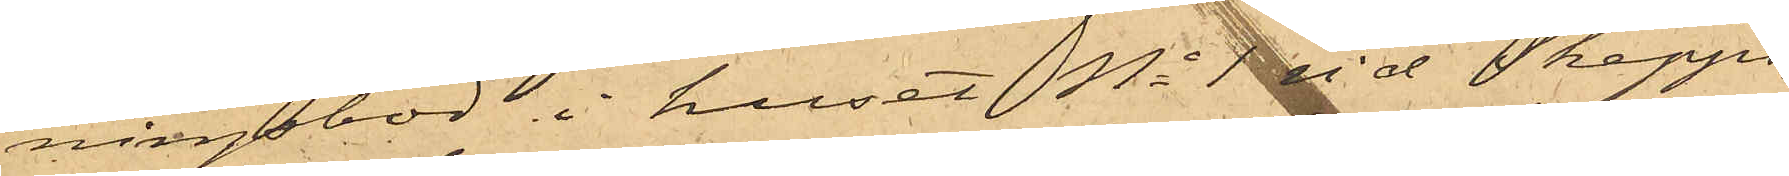ningsbod i huset No 1 vid Skepps¬
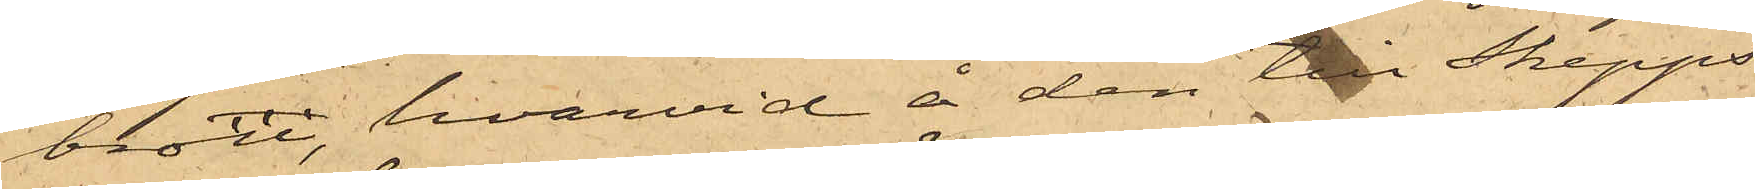bron, hvarvid å den till Skepps¬
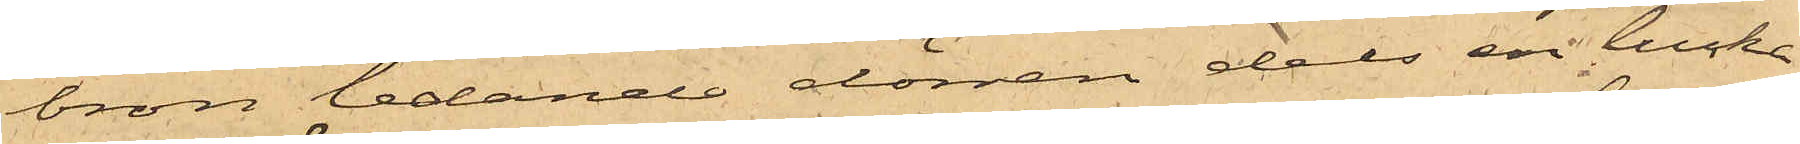bron ledande dörren dels en lucka
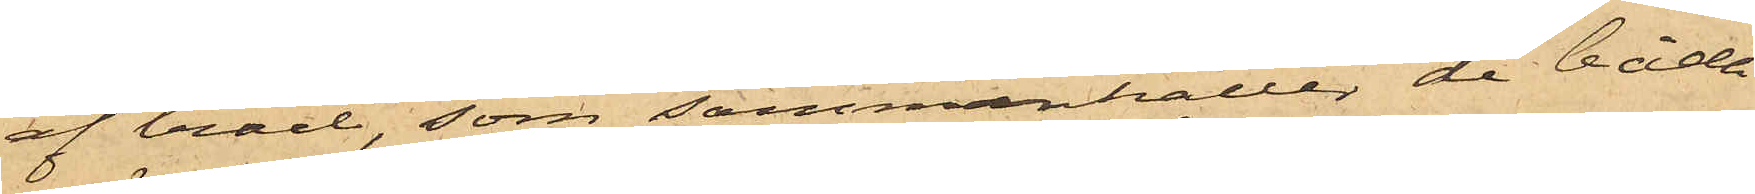af träd, som sammanhåller de båda
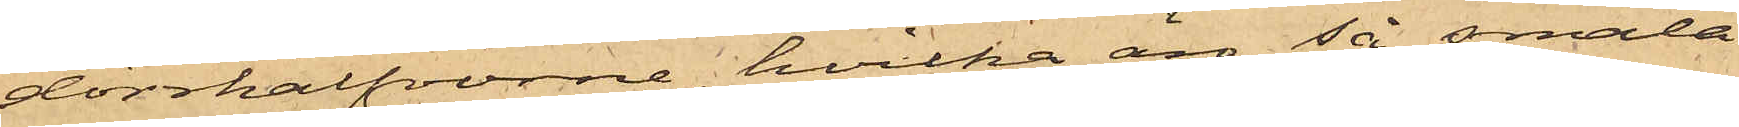dörrhalfvorne, hvilka äro så smala
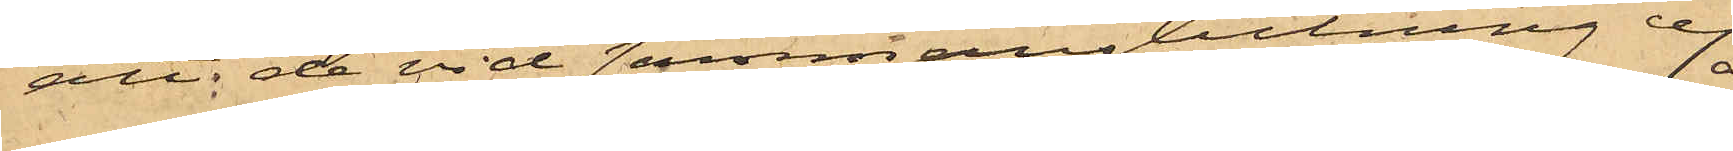att de vid sammanslutning ej
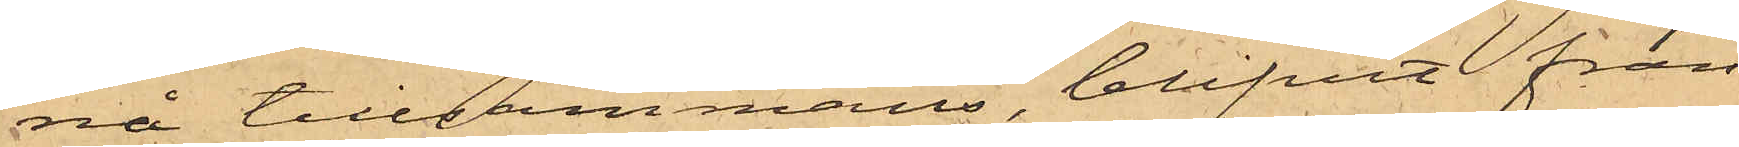nå tillsammans, blifvit från¬
